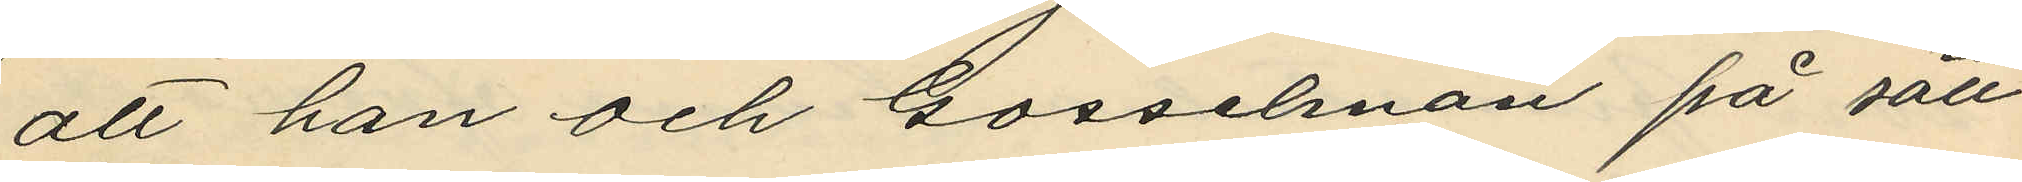att han och Gosselman på sätt
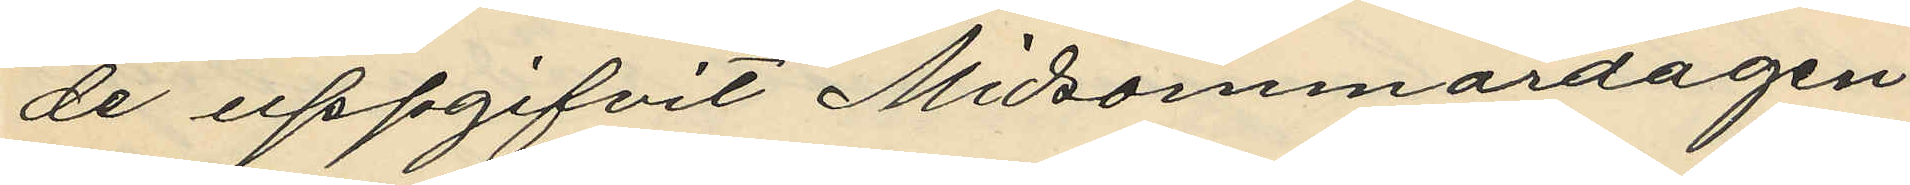de uppgifvit Midsommardagen
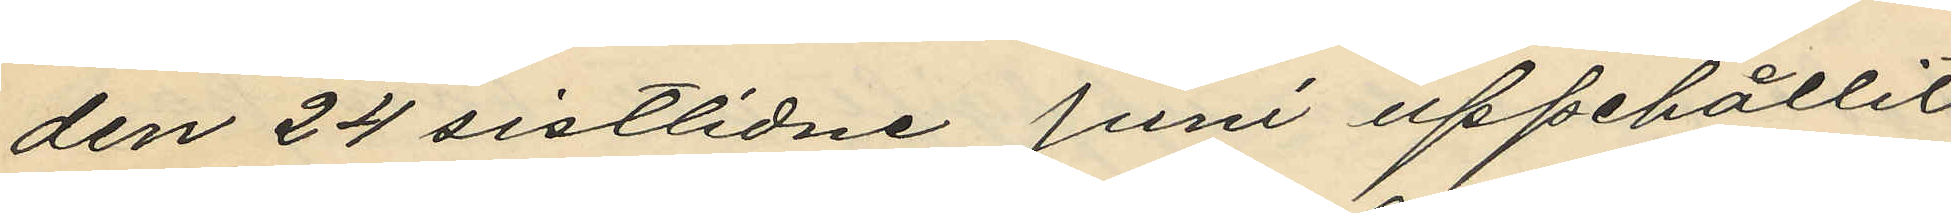den 24 sistlidne Juni uppehållit
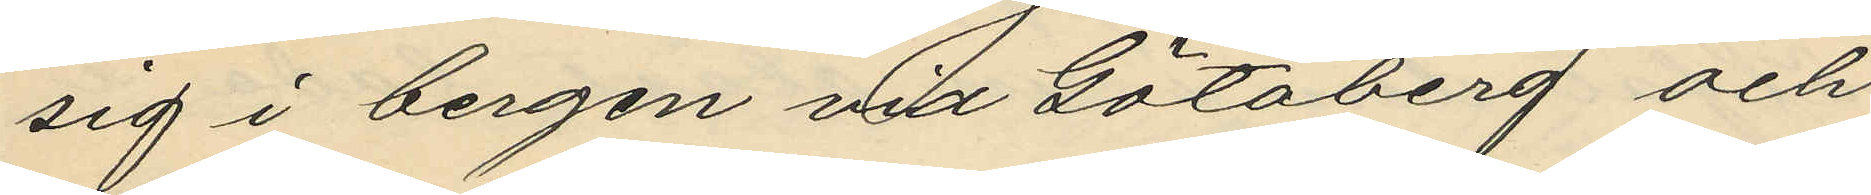sig i bergen vid Götaberg och
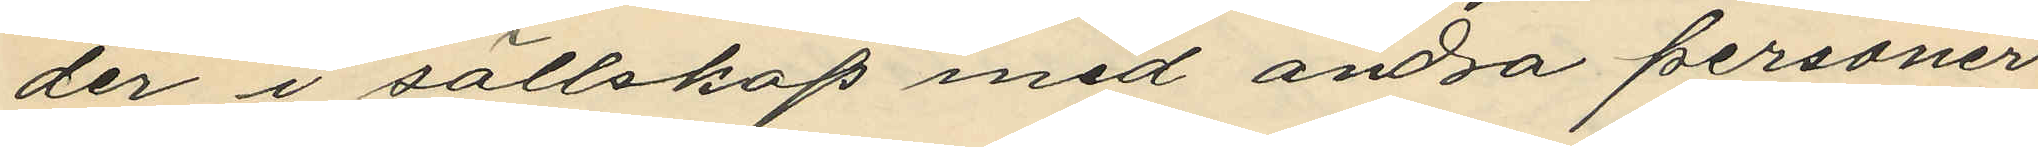der i sällskap med andra personer
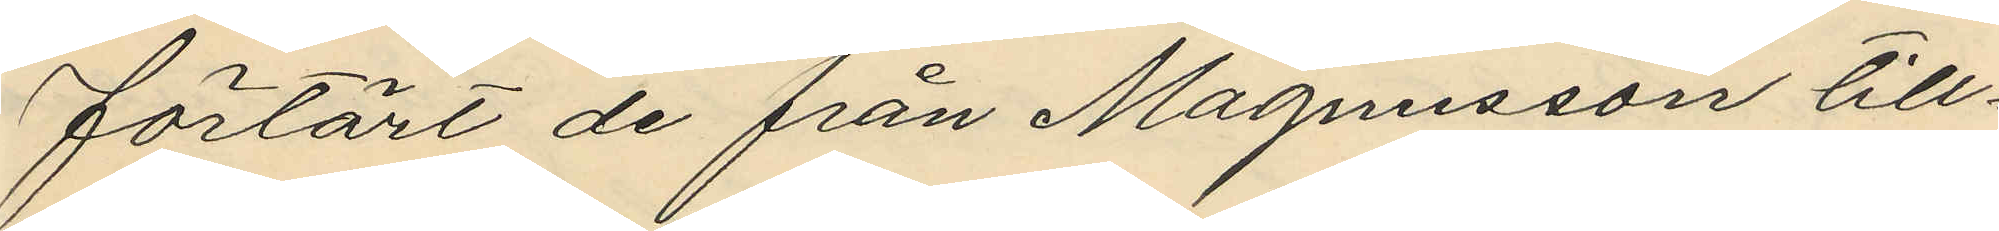förtärt de från Magnusson till¬
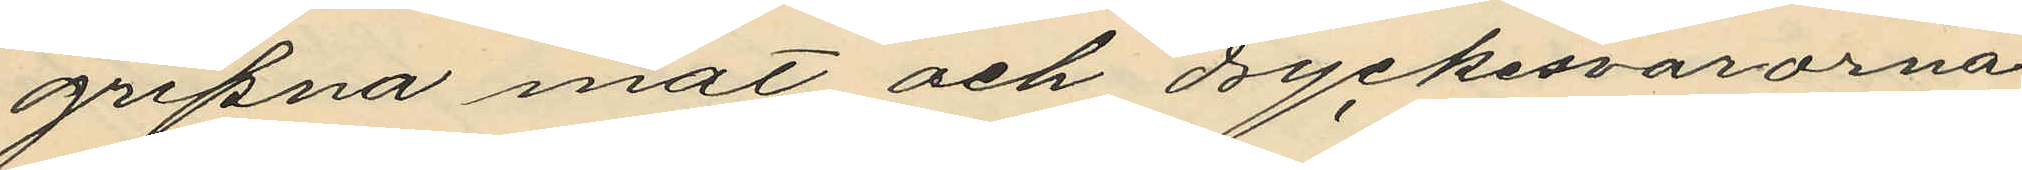gripna mat och dryckesvarorna
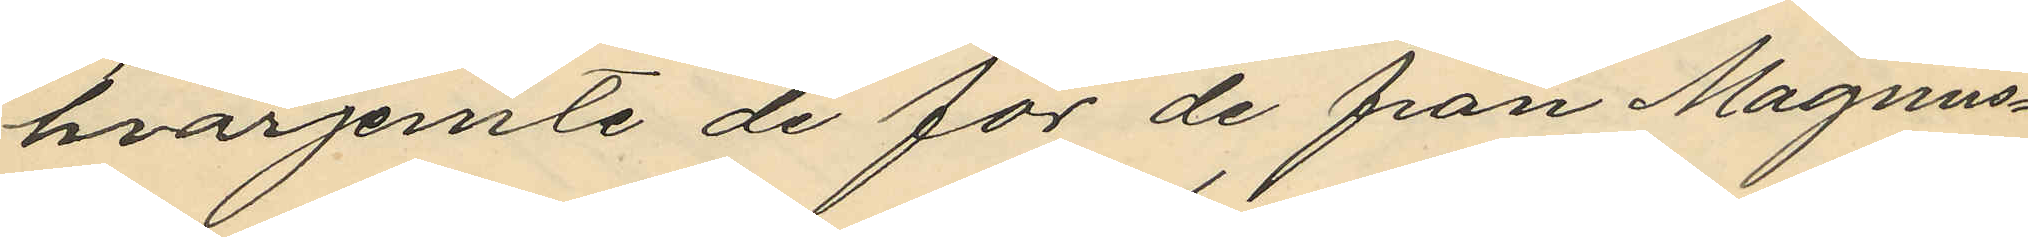hvarjemte de för de från Magnus¬
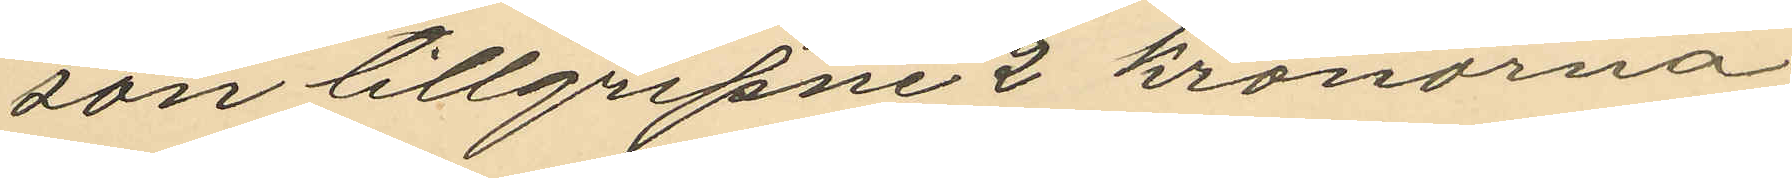son tillgripne 2 kronorna
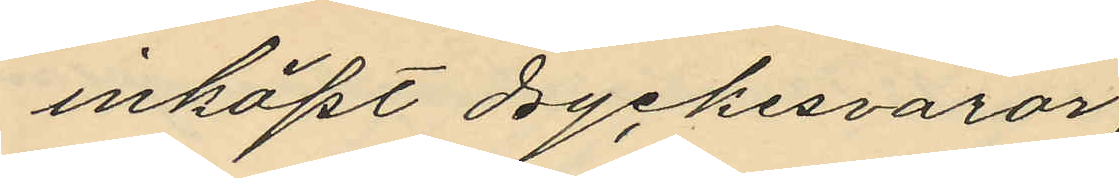inköpt dryckesvaror,
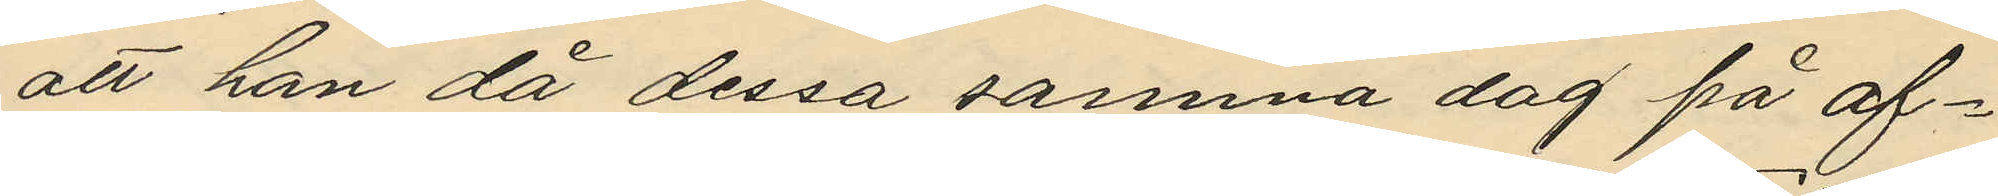att han då dessa samma dag på af¬
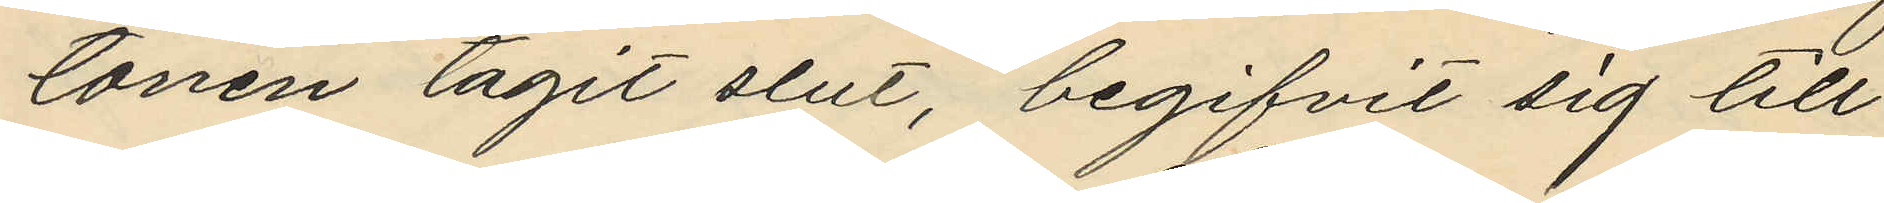tonen tagit slut, begifvit sig till
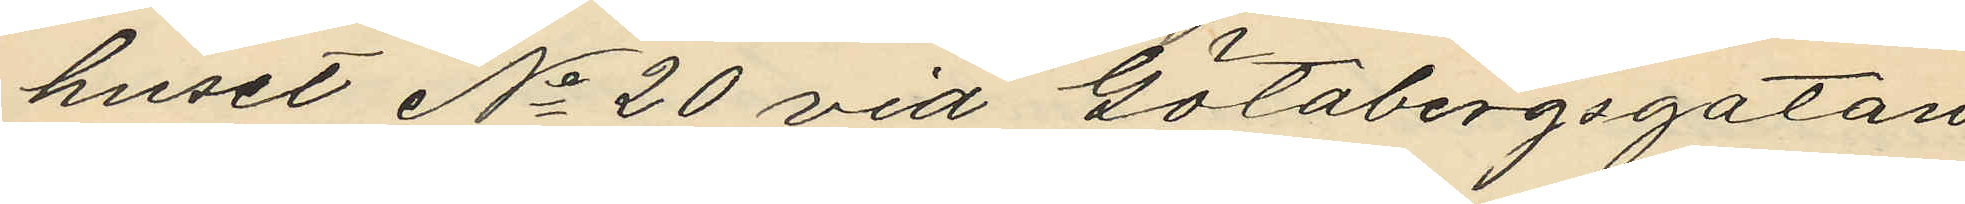huset No 20 vid Götabergsgatan
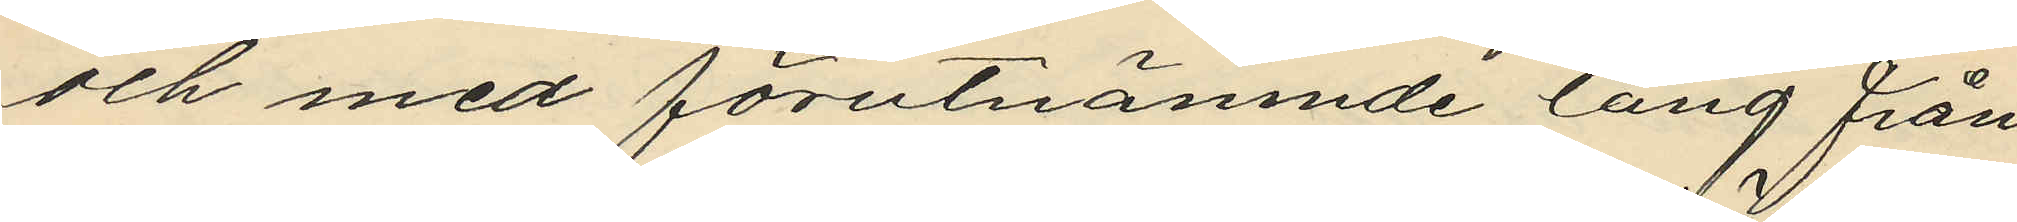och med förutnämnde tång från
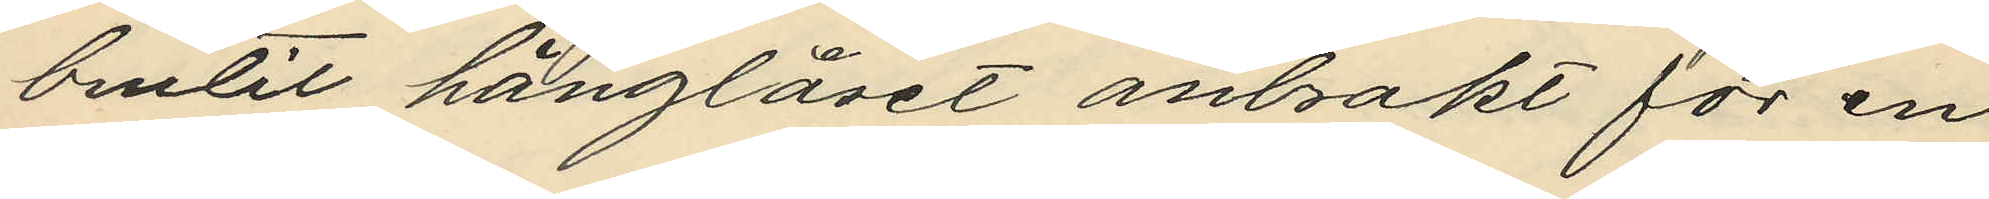brutit hänglåset anbrakt för en
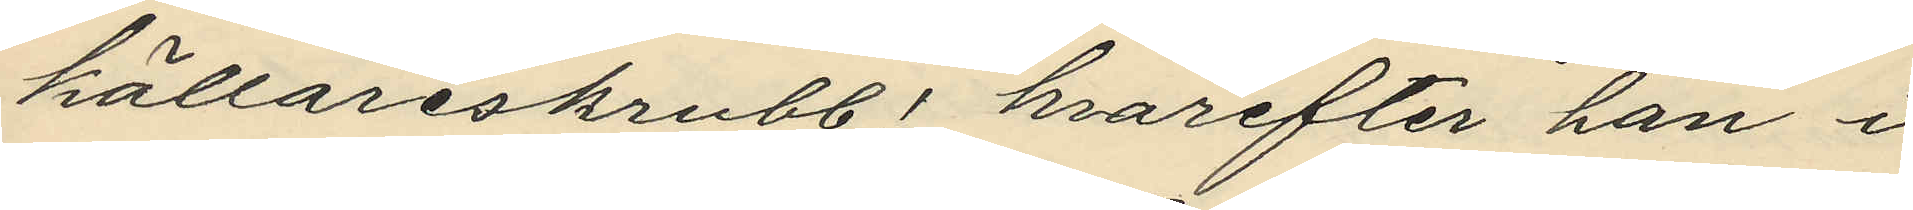källareskrubb; hvarefter han i
